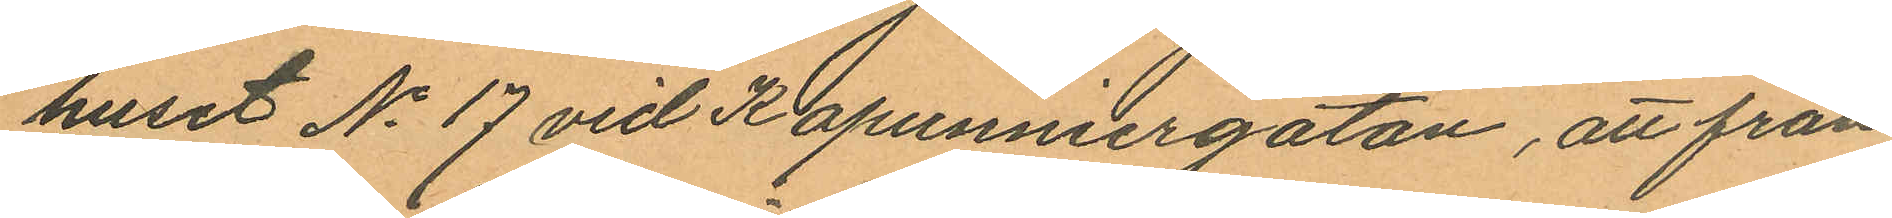huset No 17 vid Kapunniergatan, att från
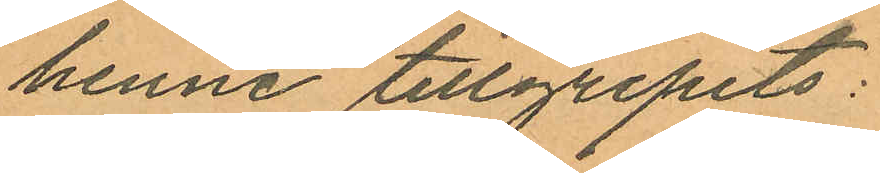henne tillgripits:
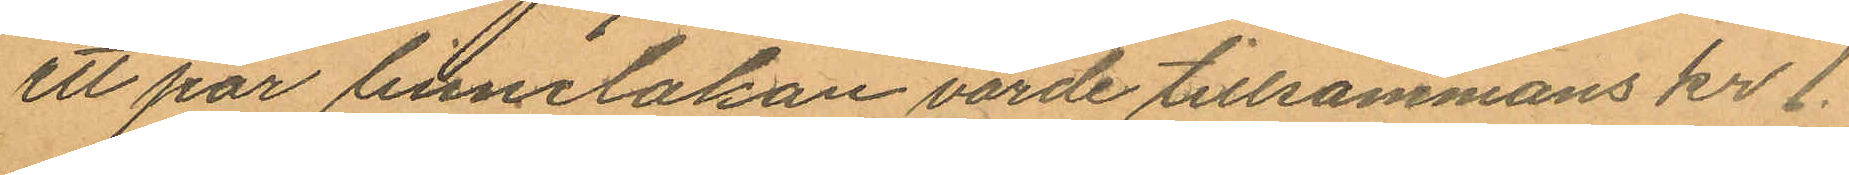ett par linnelakan värde tillsammans kr 1.
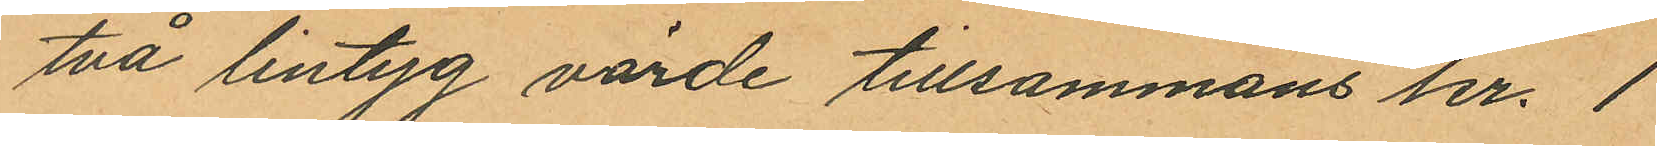två lintyg värde tillsammans kr. 1
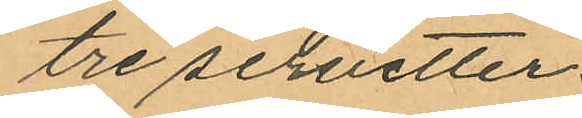tre servetter
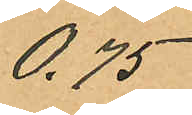0.75
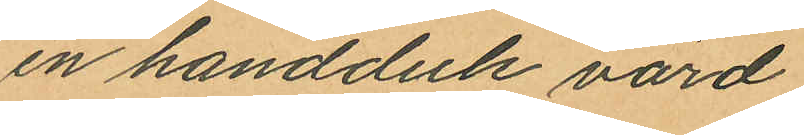en handduk värd
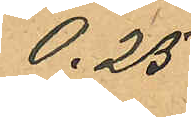0.25
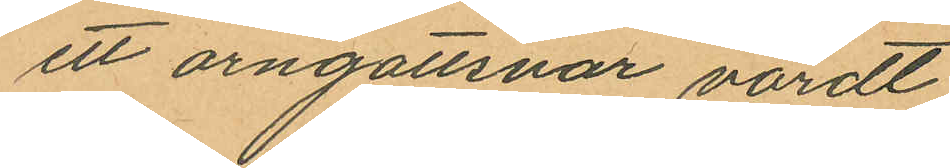ett örngottsvar värdt
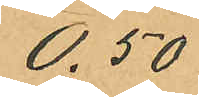0.50
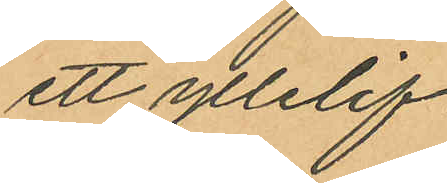ett yllelif
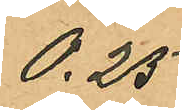0.25
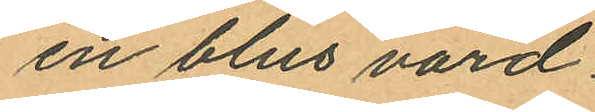en blus värd
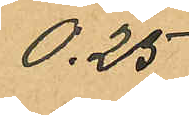0.25
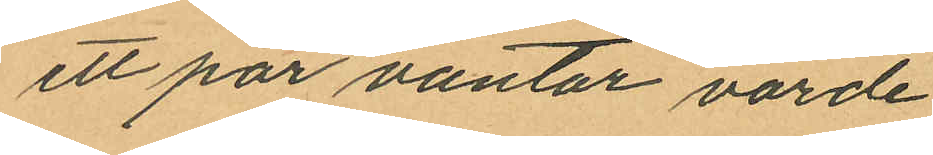ett par vantar värde
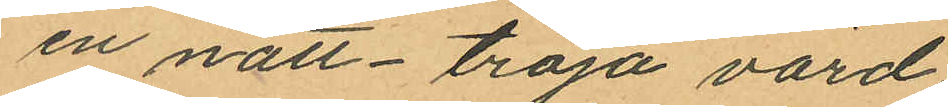en natt-tröja värd
